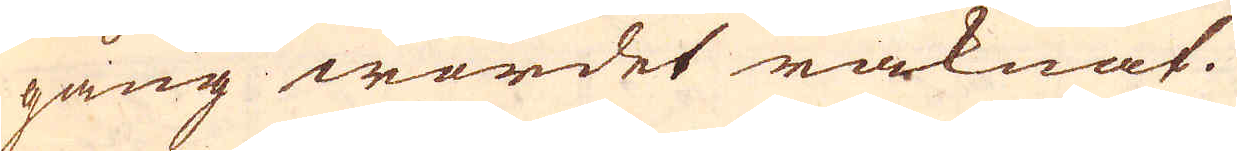gång wordet räknat.
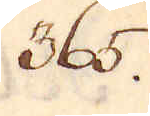365.
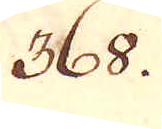368.
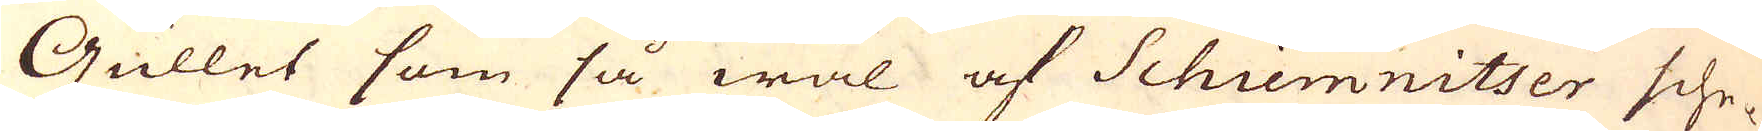Gullet som så wäl af Schiemnitser sche-
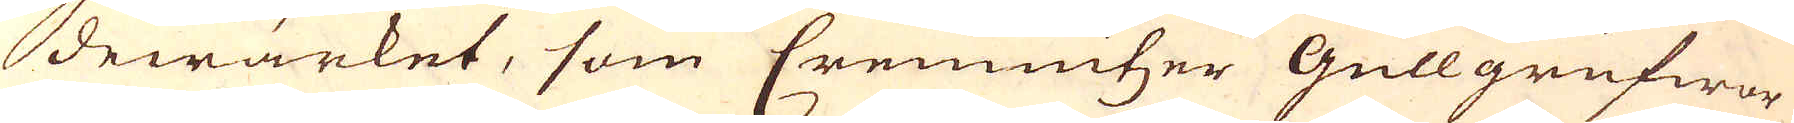dewärket, som Cremnitzer Gullgrufwor
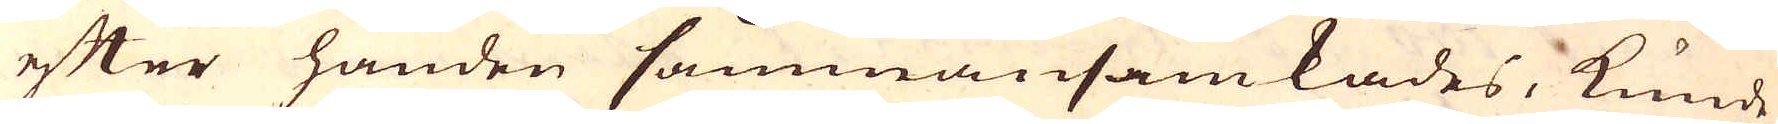efter handen sammansamkades, kunde
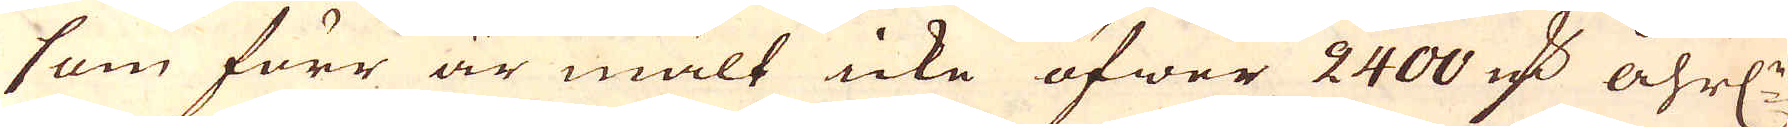som förr är mält icke öfwer 2400 marker åhrl:n
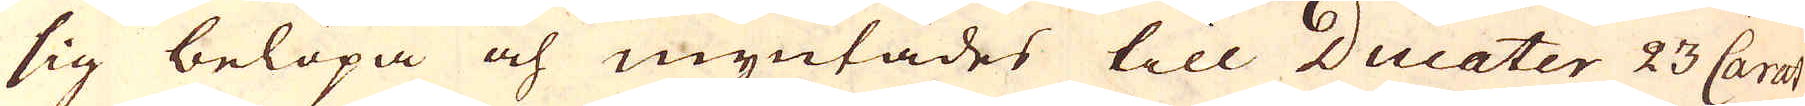sig belöpa och myntades till Ducater 23 Carat
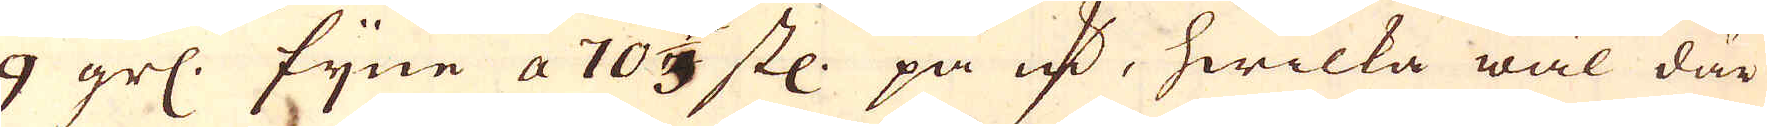9 grs. fijne a 70 2/3 st: på markern, hwilka wäl där
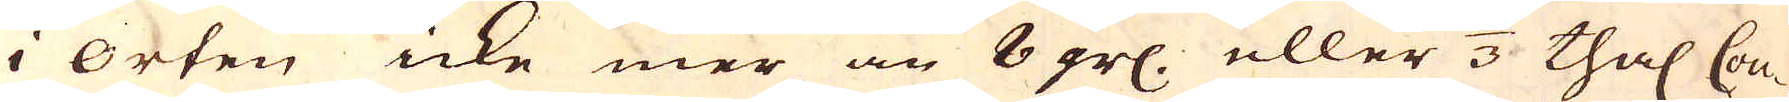i orten icke mer än 8 grs. eller 1/3 thal: Cou-
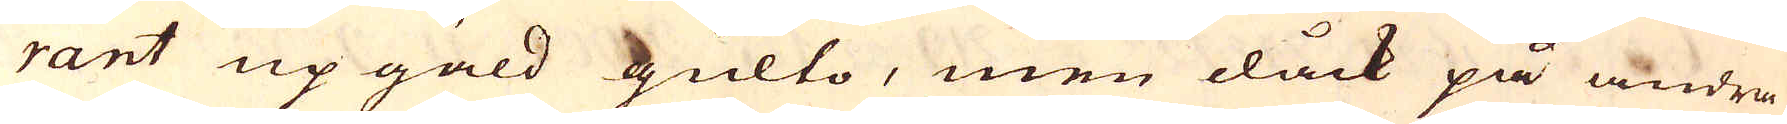rant up gäld gulto, men dåck på andra
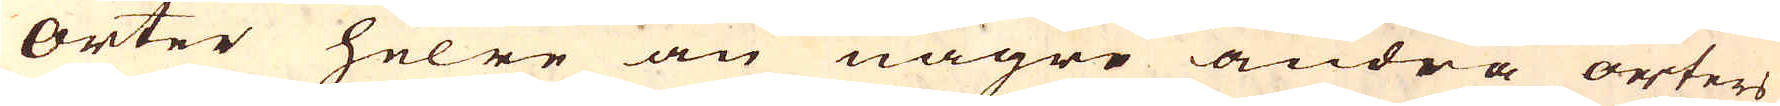Orter helre än någre andra orters
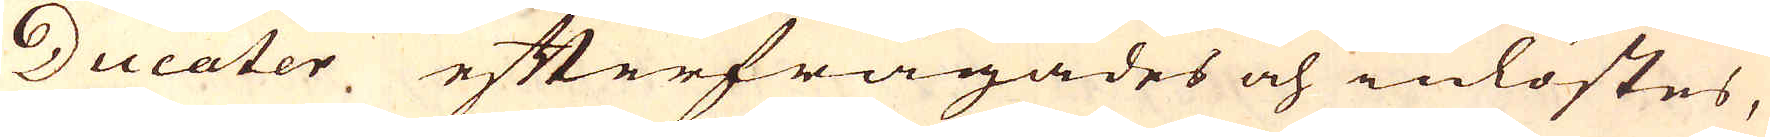Ducater efterfrågades och inlöstes,
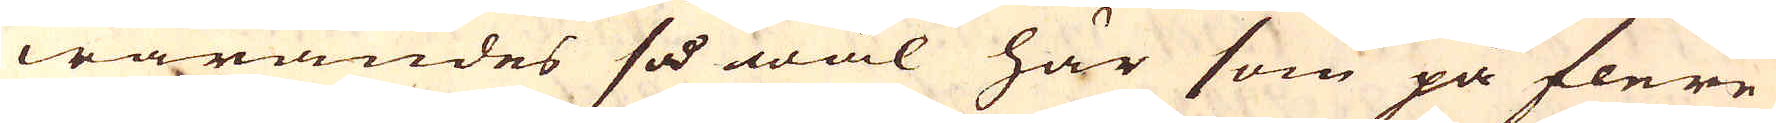warandes så wäl här som på flere
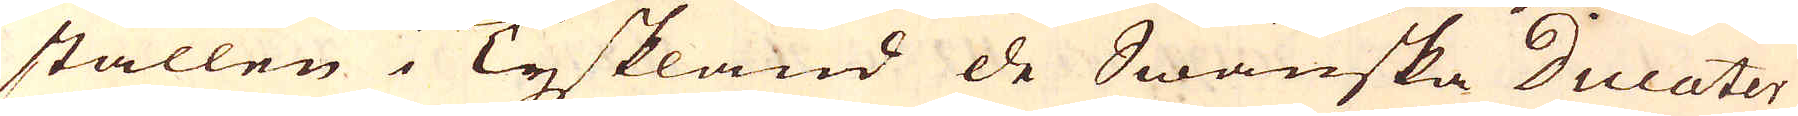ställen i Tyskland de Swänska Ducater
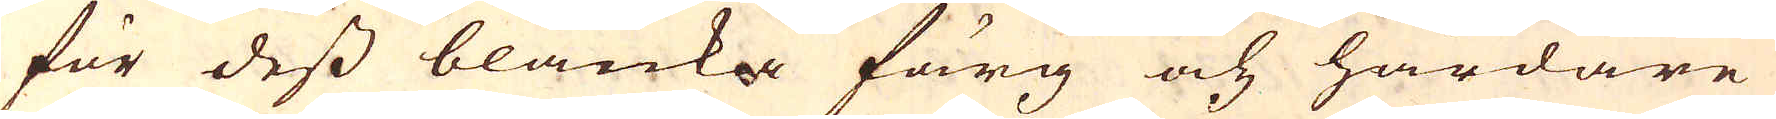för dess blanka färg och hårdare
